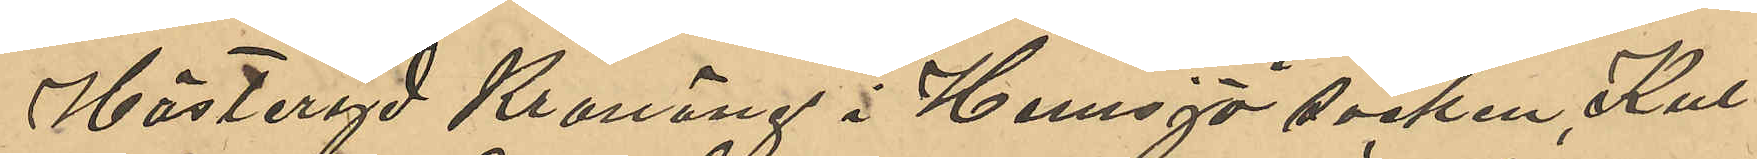Hästeryd Kronäng i Hemsjö socken, Kul¬
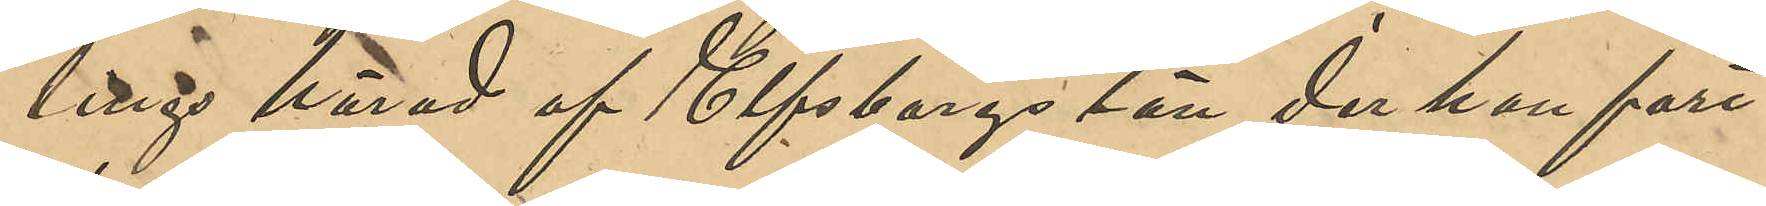lings härad af Elfsborgs län der han fort¬
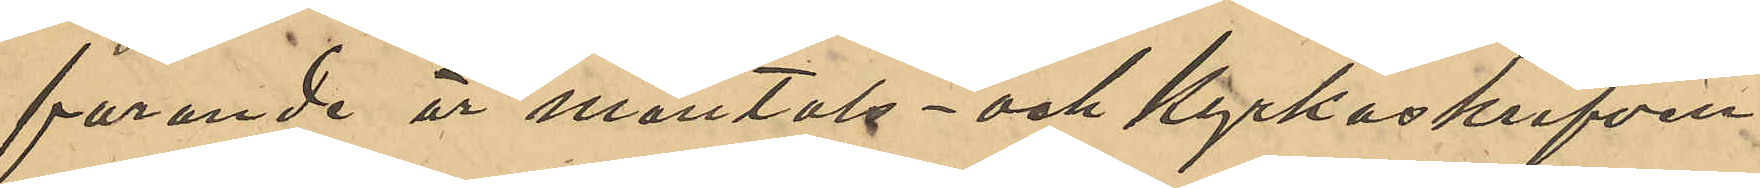farande är mantals- och kyrkoskriven.
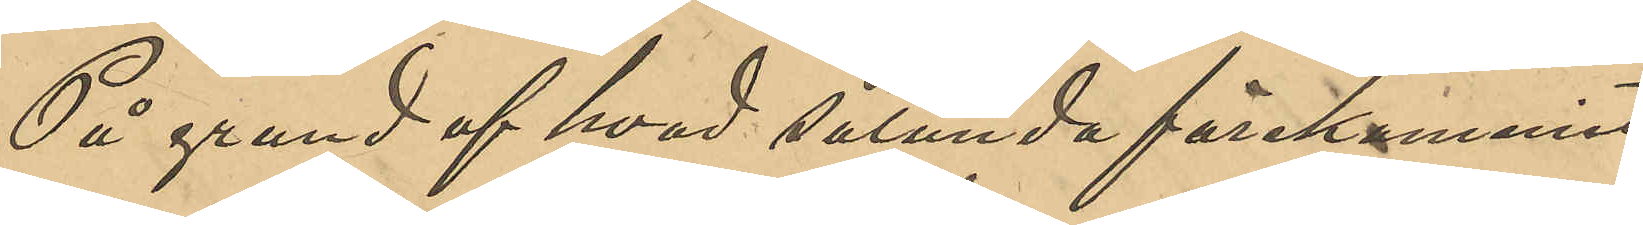På grund af hvad sålunda förekommit
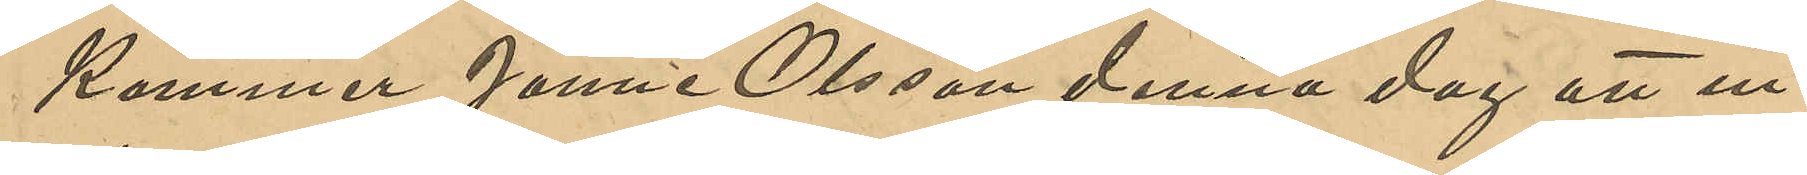kommer Janne Olsson denna dag att in¬
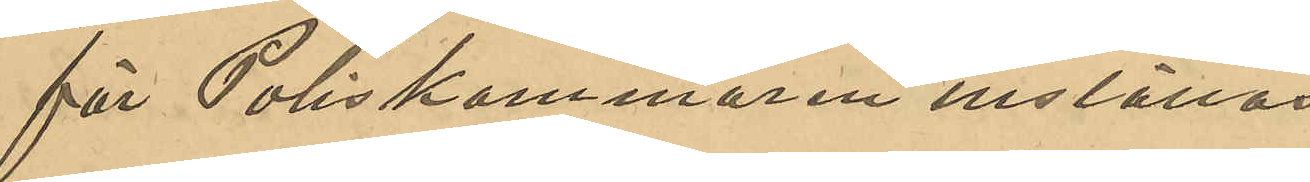för Poliskammaren inställas.
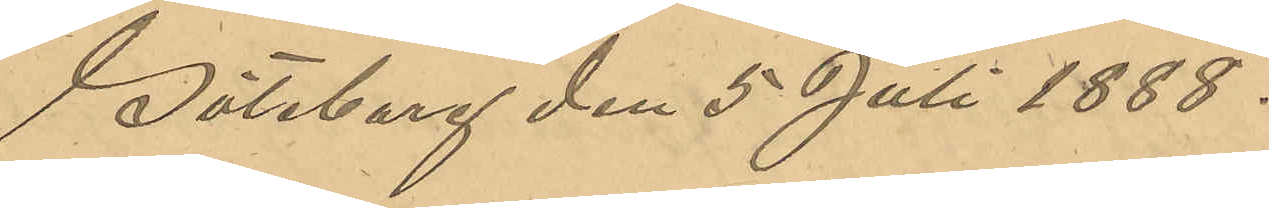Göteborg den 5 Juli 1888.
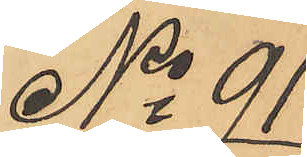No 91
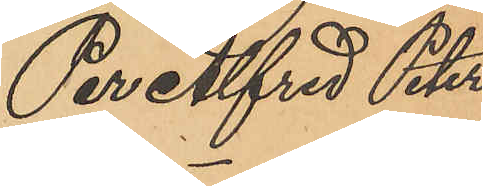Per Alfred Peters¬
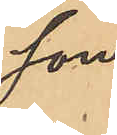son.
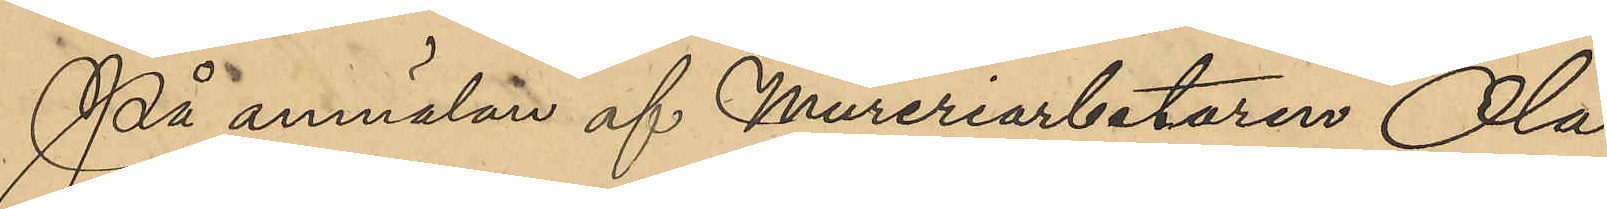På anmälan af Mureriarbetaren Ola
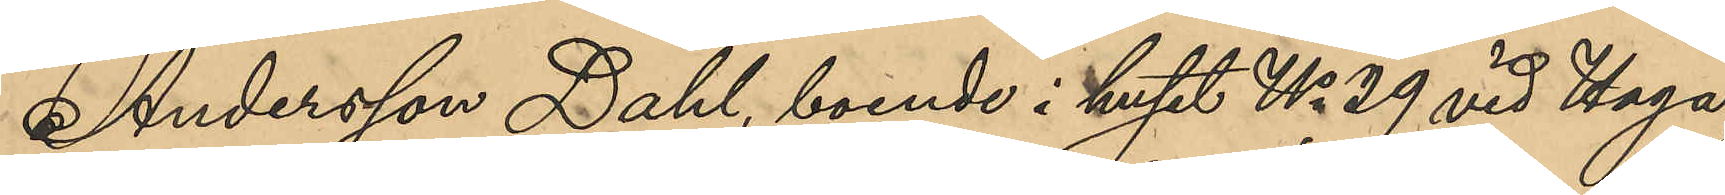Andersson Dahl, boende i huset No 209 vid Haga
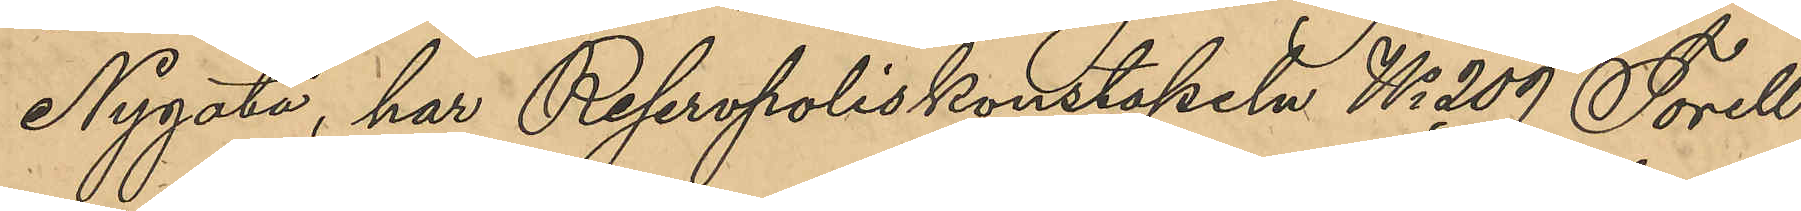Nygata, har Reservpoliskonstapeln No 209 Torell
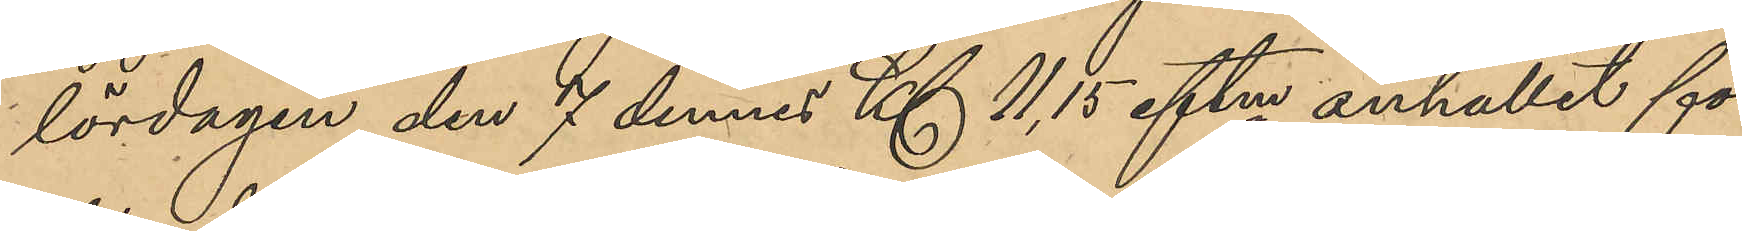lördagen den 7 dennes Kl 11,15 eftm anhållit för
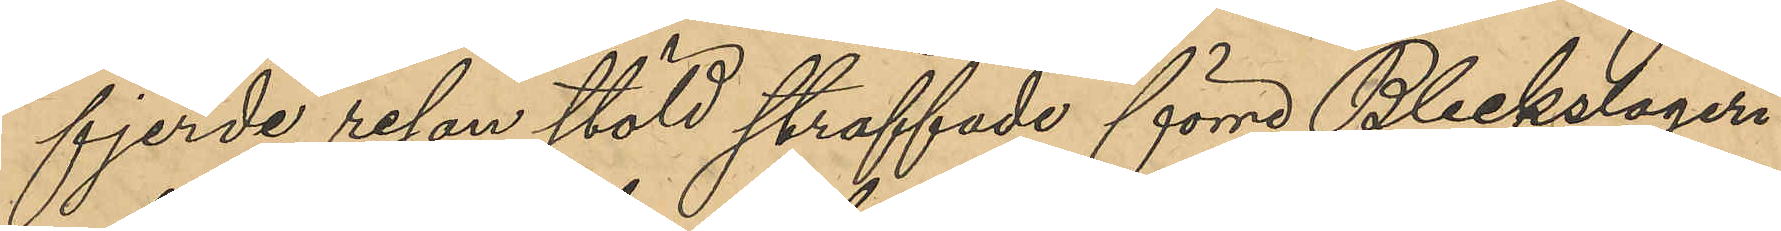fjerde resan stöld straffade förre Bleckslageri¬
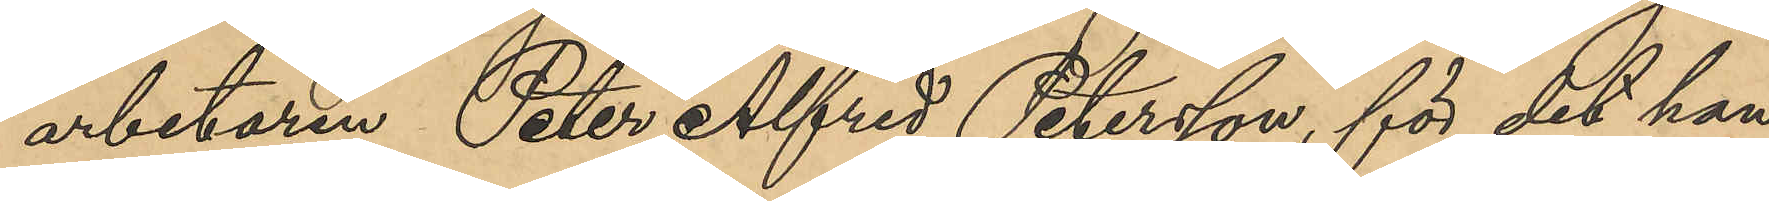arbetaren Peter Alfred Petersson, för det han
